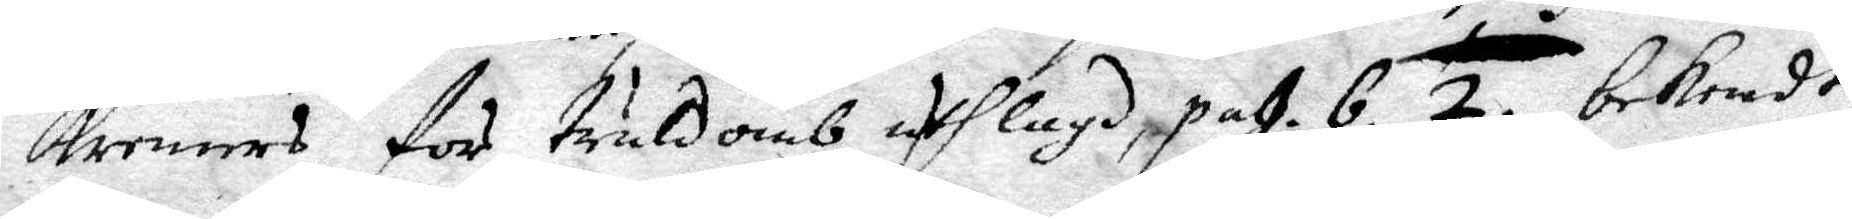Kremers för truldomb utlagd, pag. 6. 2. bekendt
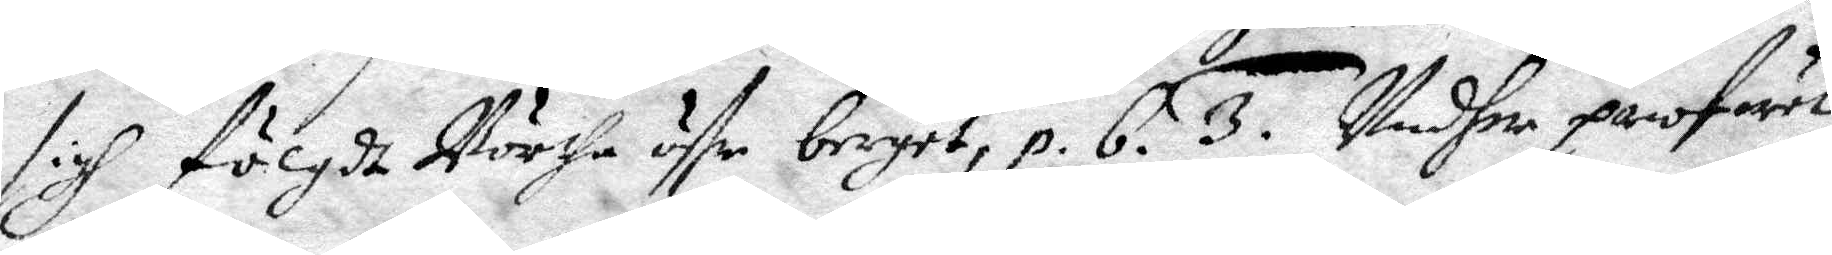sigh fölgdt Börtha öffr berget, p.6. 3. Undher profwet
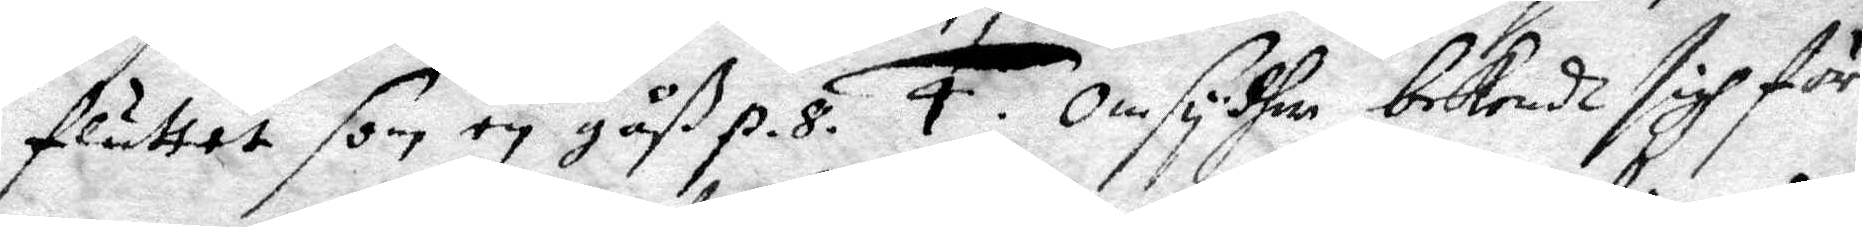fluttet som en gåß p. 8. 4. Omsydher bekendt sigh för
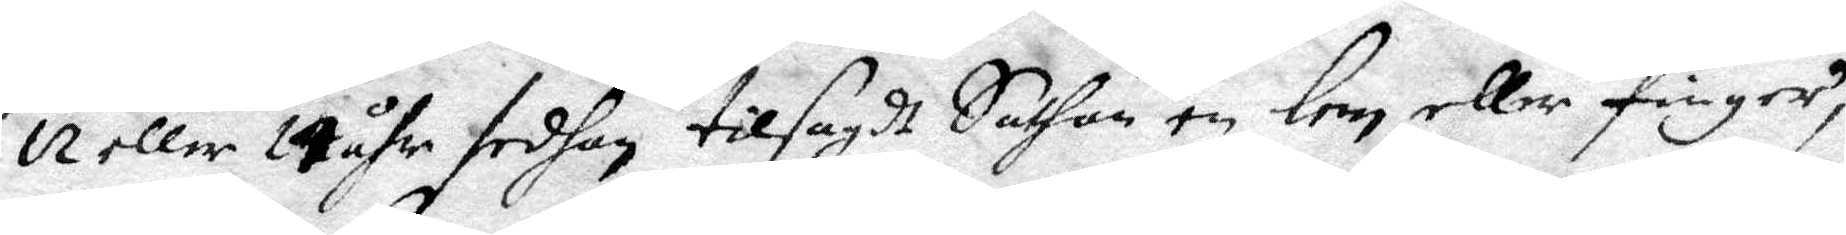12 eller 14 åhr sedhan tilsagdt Sathan en lem eller finger,
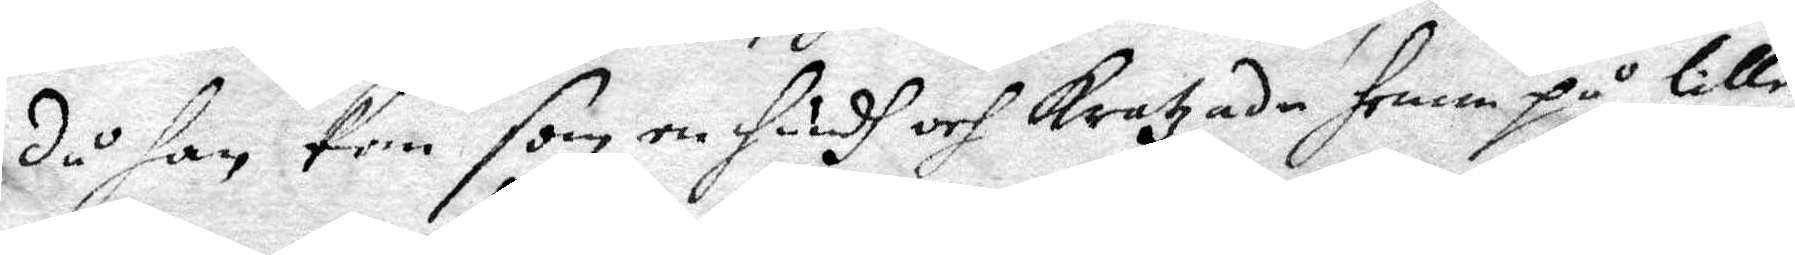då han kom som en hundh och kratzade fram på lille
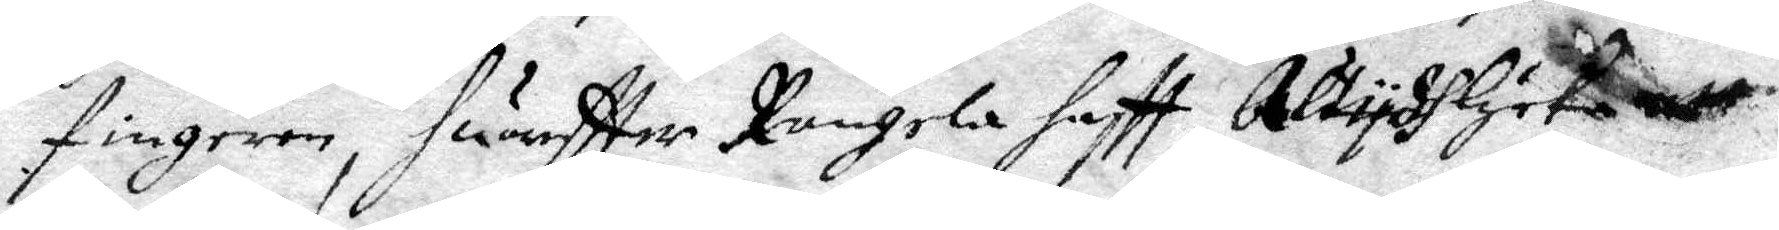fingren, huaffer Rangela haftt Altydh lycka att
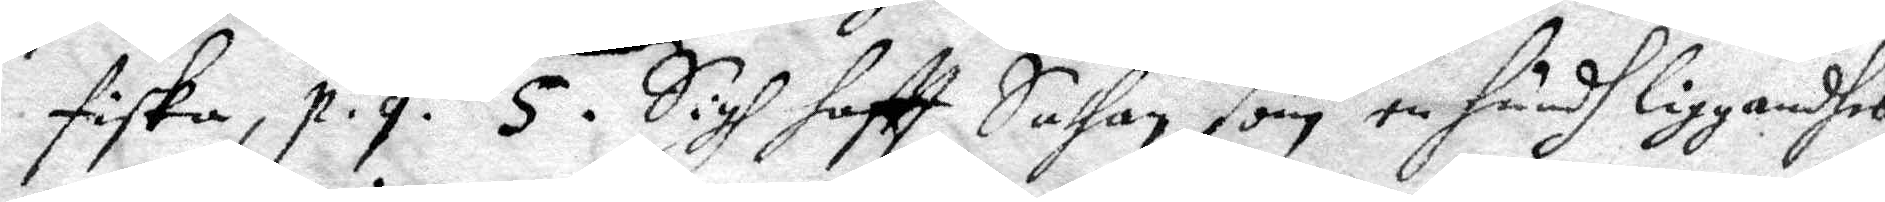fiska, p.9. 5. Sigh haftt Sathan som en hundh liggandhes
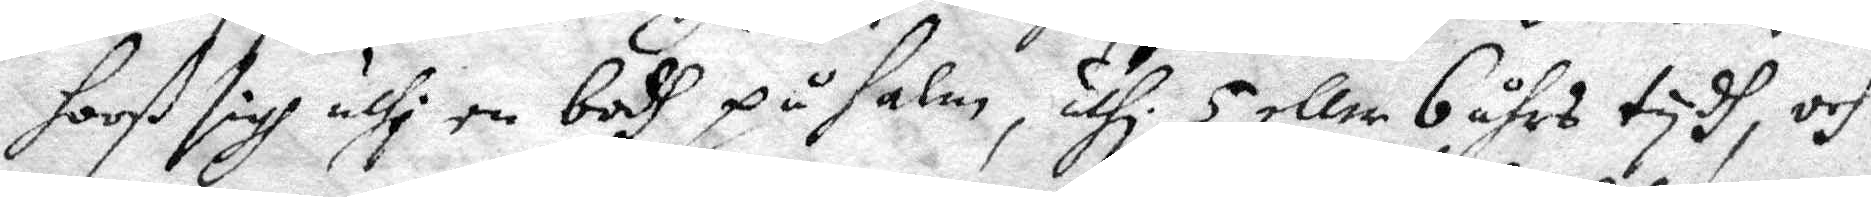hooß sigh uthi en bodh på halm, uthi 5 eller 6 åhrs tydh, och
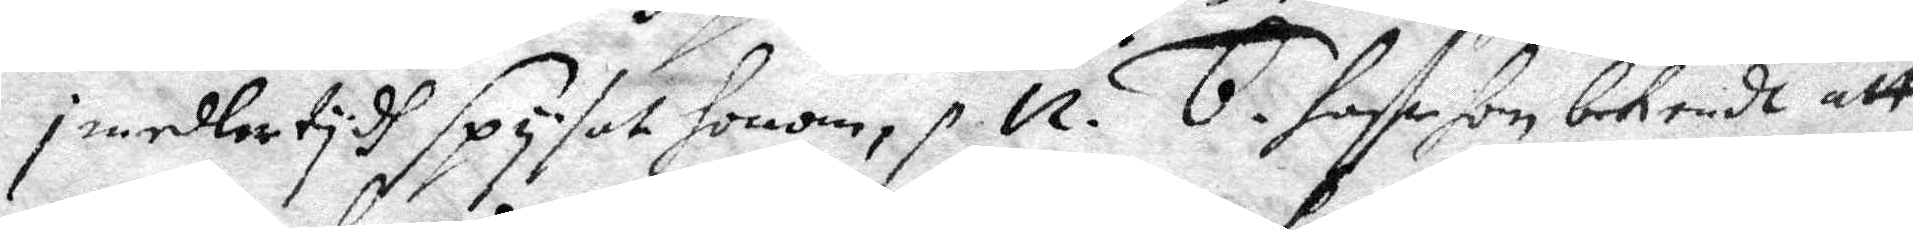imedlertydh spysat honom, p. 12. 6. haffr hon bekendt att
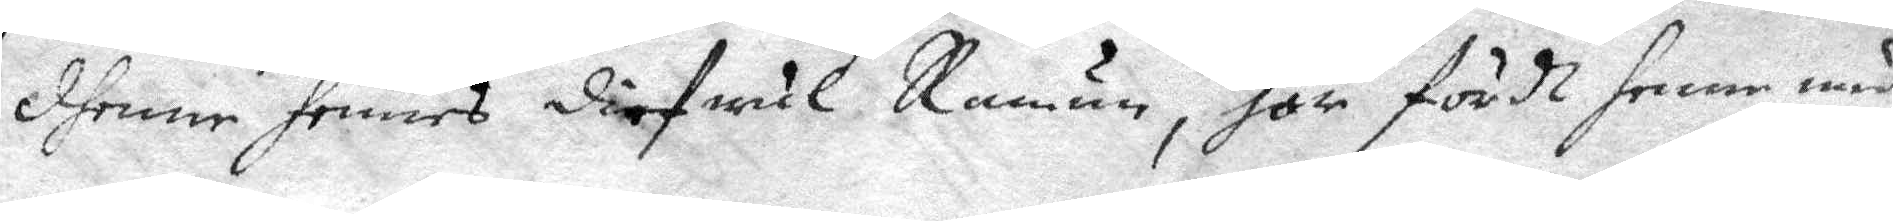dhenne hennes diefwul Ramun, har fördt henne med
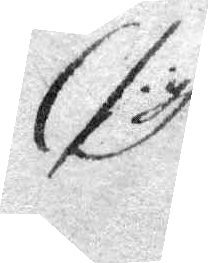/: gh
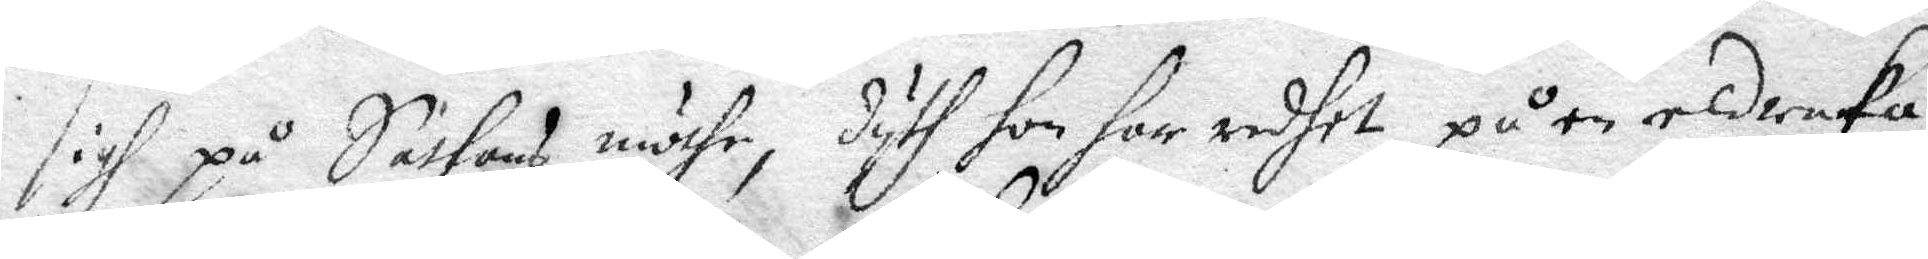sigh på Sathans möthe, dyth hon for redhet på en eldraka,
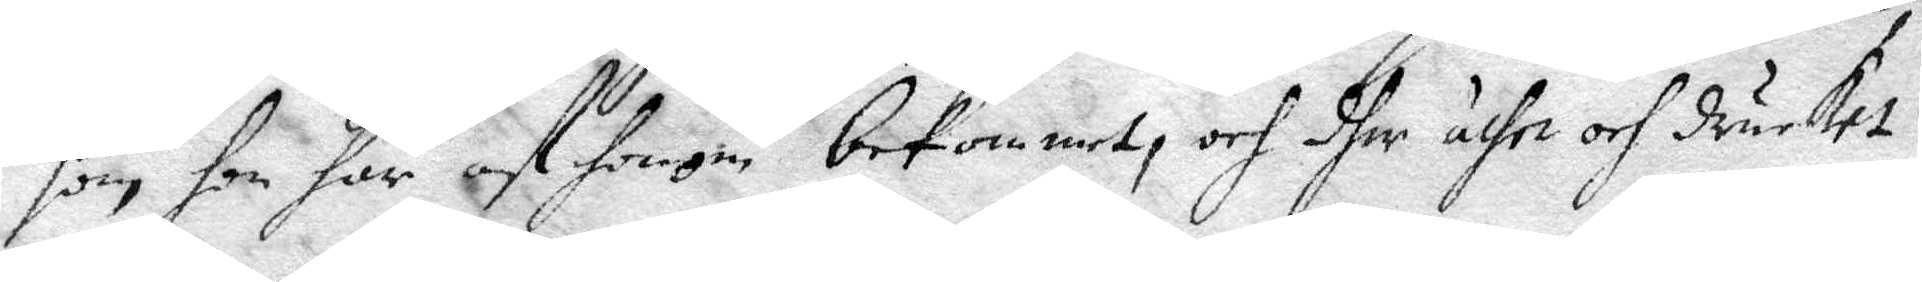som hon har af honom bekommet, och dher äthe och drucket
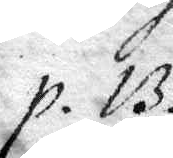p. 13.
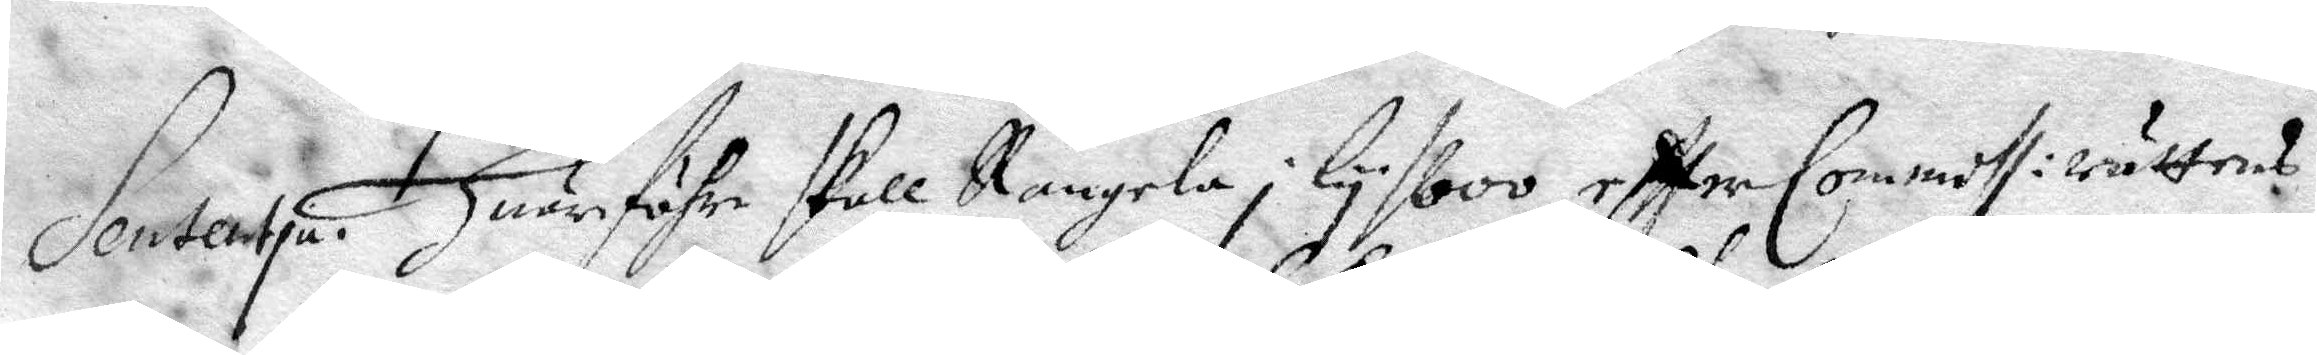Sententia. Huarföhre skall Rangela i Lysboo eftter Commisl: rättens
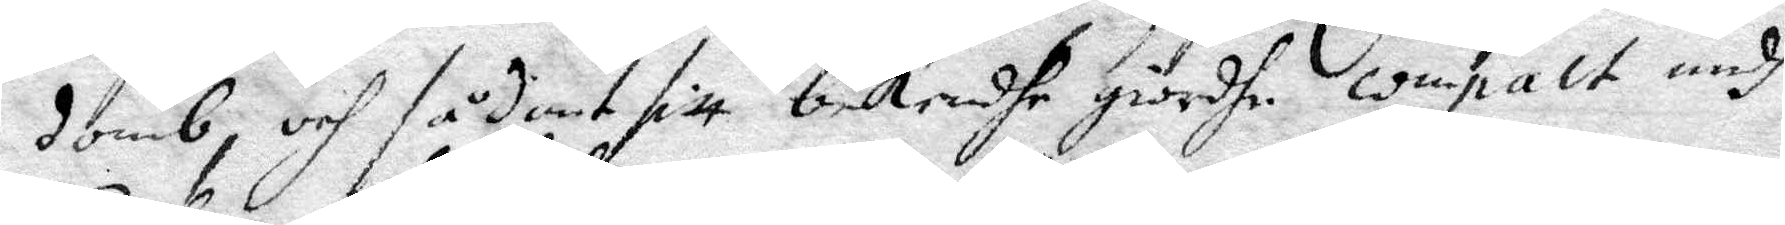domb, och sådant sitt bekendhe giordhe ompakt medh
